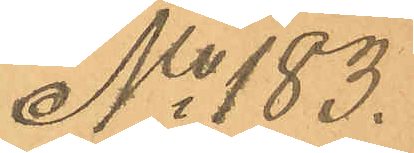No 183.
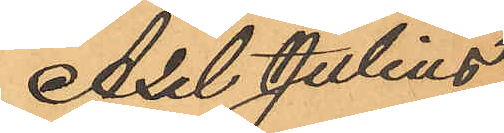Axel Julius
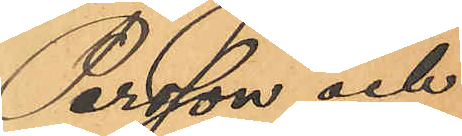Persson och
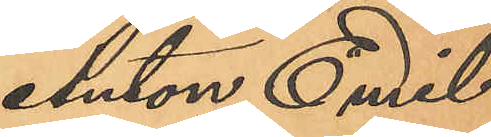Anton Emil
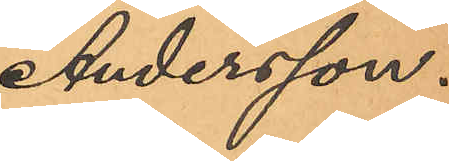Andersson.
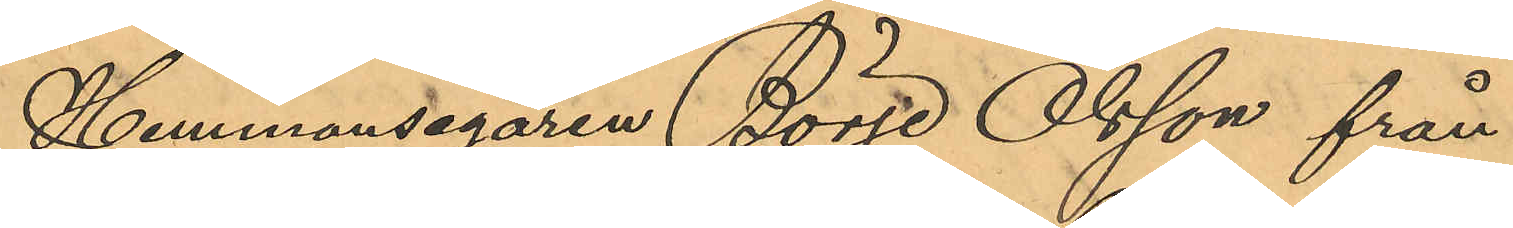Hemmansegaren Börje Olsson från
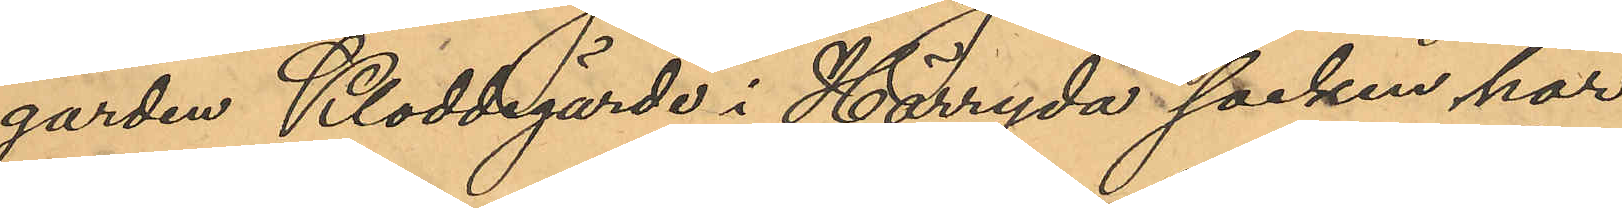gården Kloddegärde i Härryda socken har
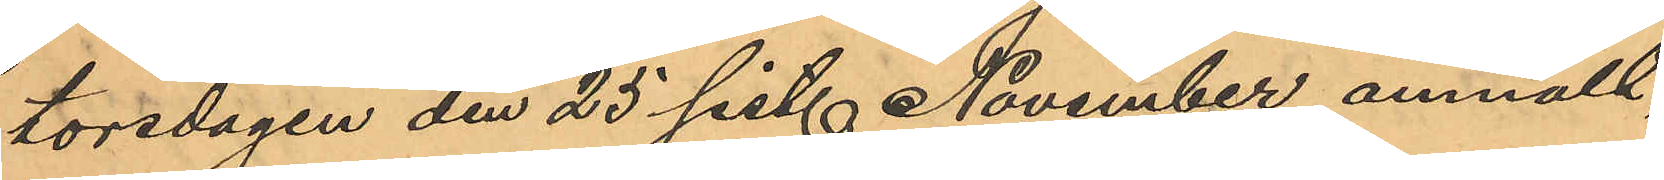torsdagen den 25 sist. November anmält,
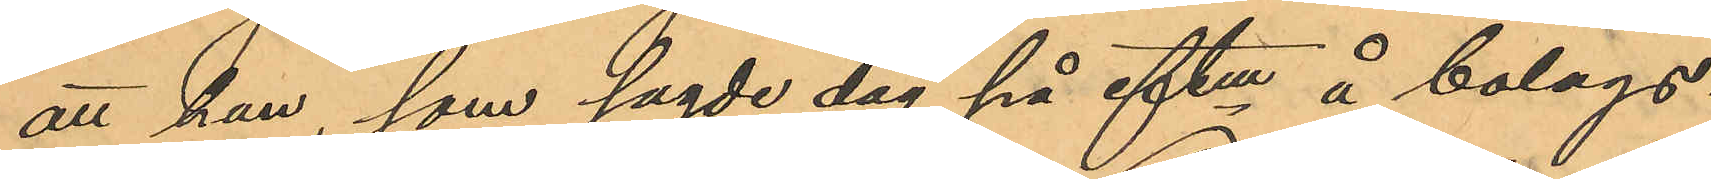att han, som sagde dag på eftm å bolags¬
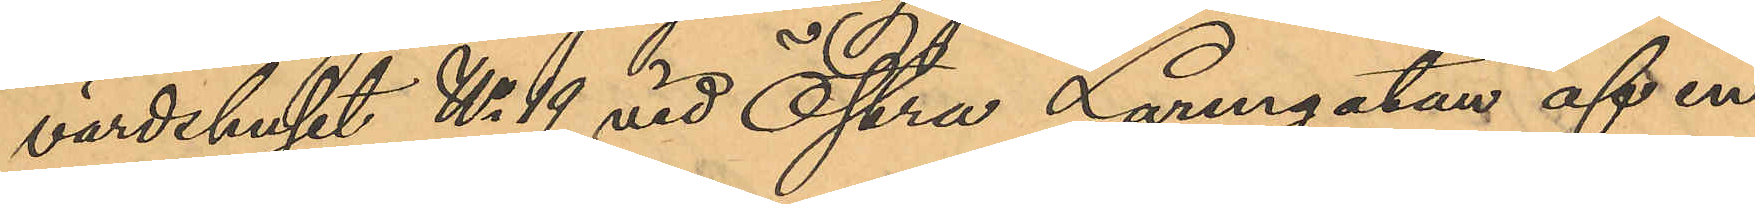värdshuset No 19 vid Östra Larmgatan af en
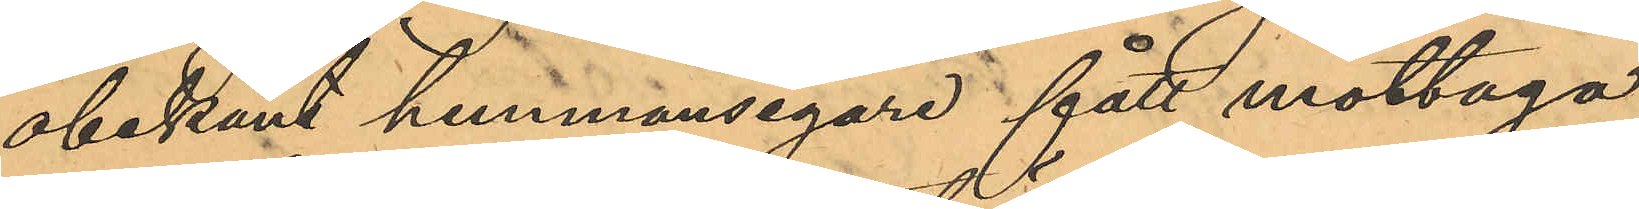obekant hemmansegare fått mottaga
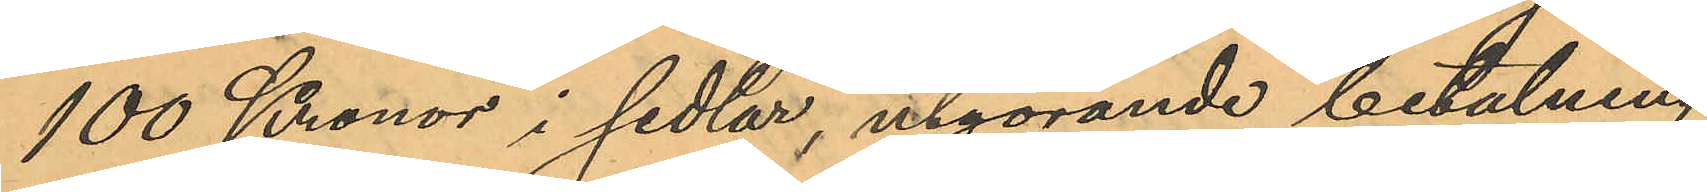100 Kronor i sedlar, utgörande betalning
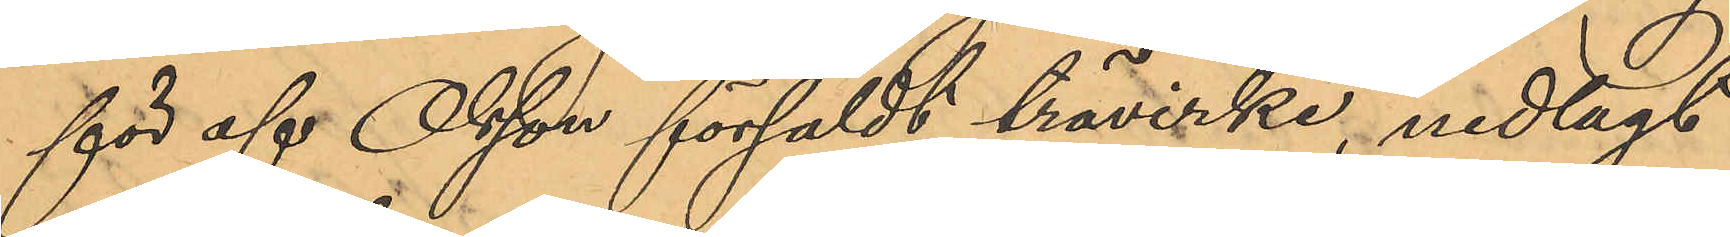för af Olsson försåldt trävirke, nedlagt
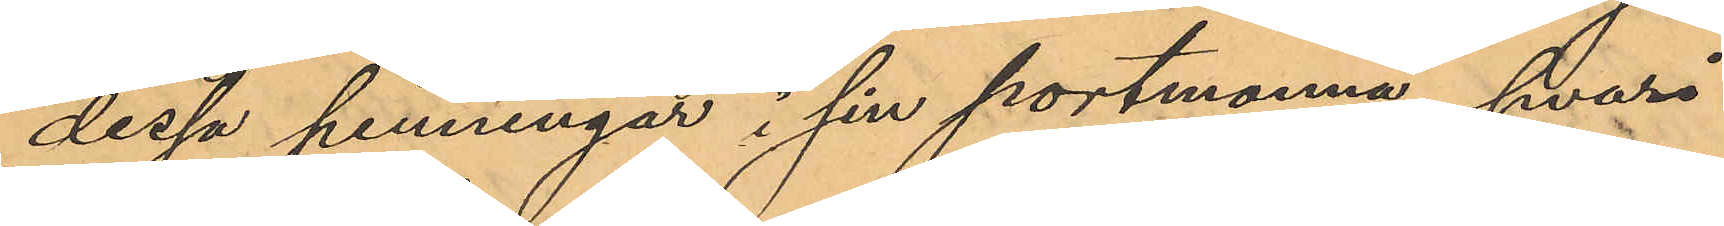dessa penningar i sin portmonnä, hvari
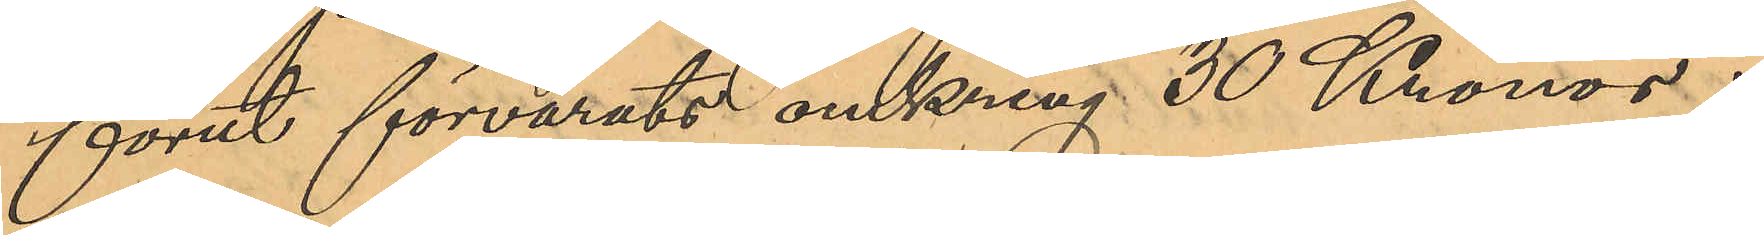förut förvarats omkring 30 Kronor i
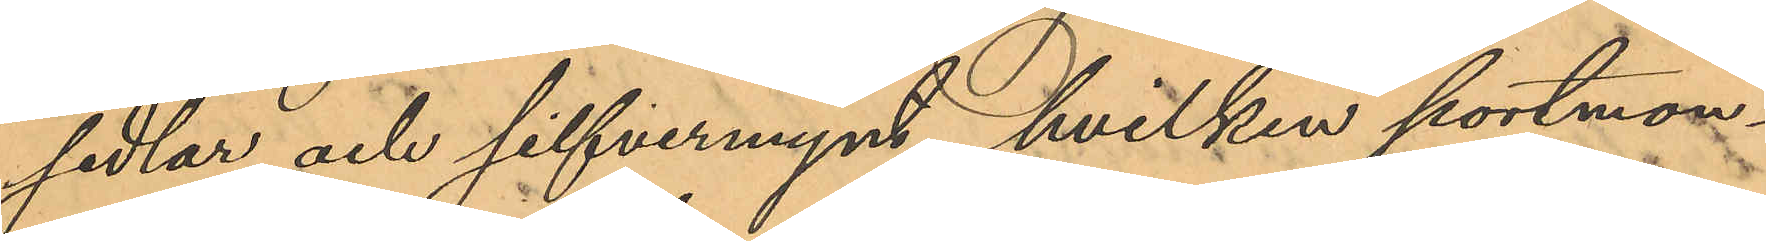sedlar och silfvermynt, hvilken portmon¬
